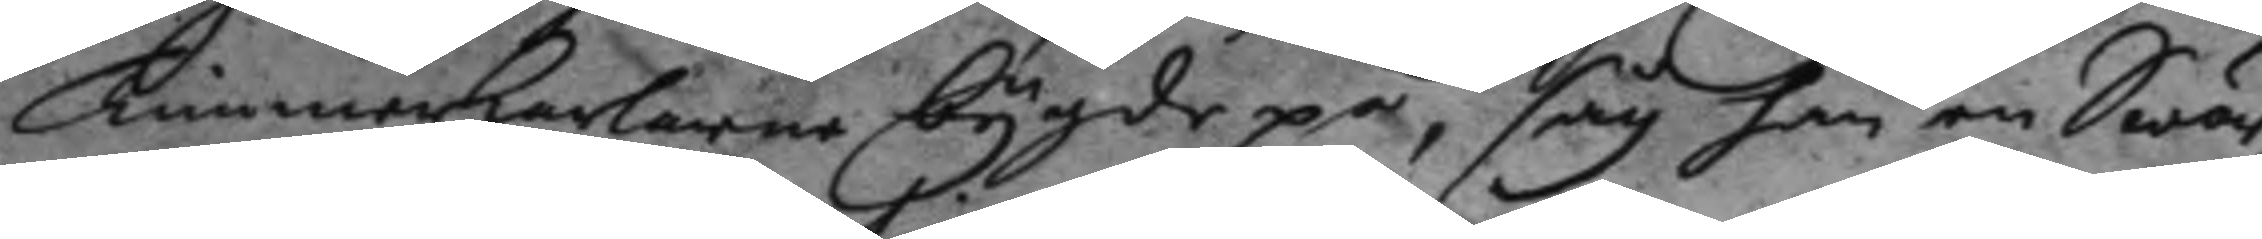Timmerkarlarne bygde på, såg han en Swär¬
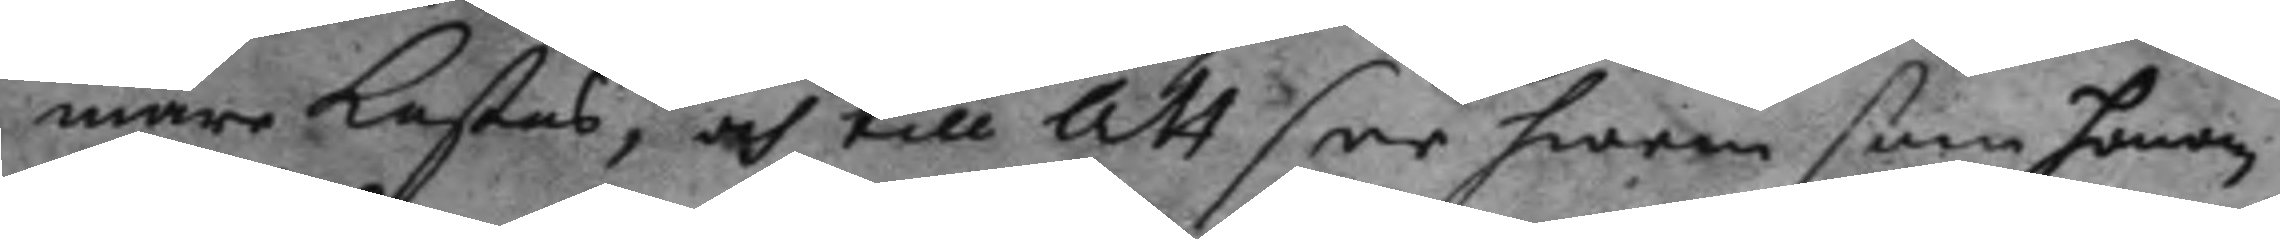mare kastas, och till att dee hwem som honom
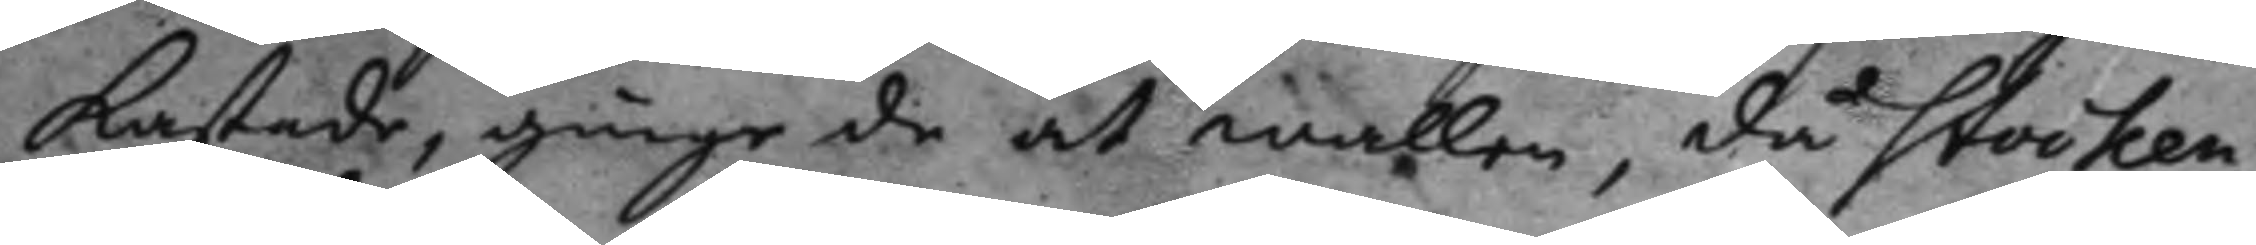kastade, ginge de åt wallen, då Stocken¬
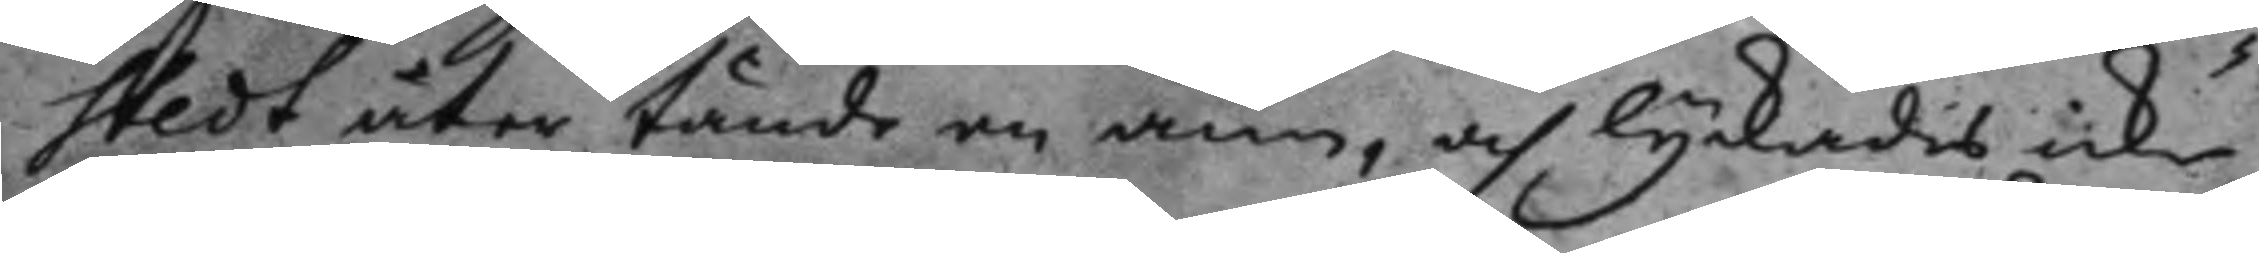stedt åter tände en ann, och lyckades icke
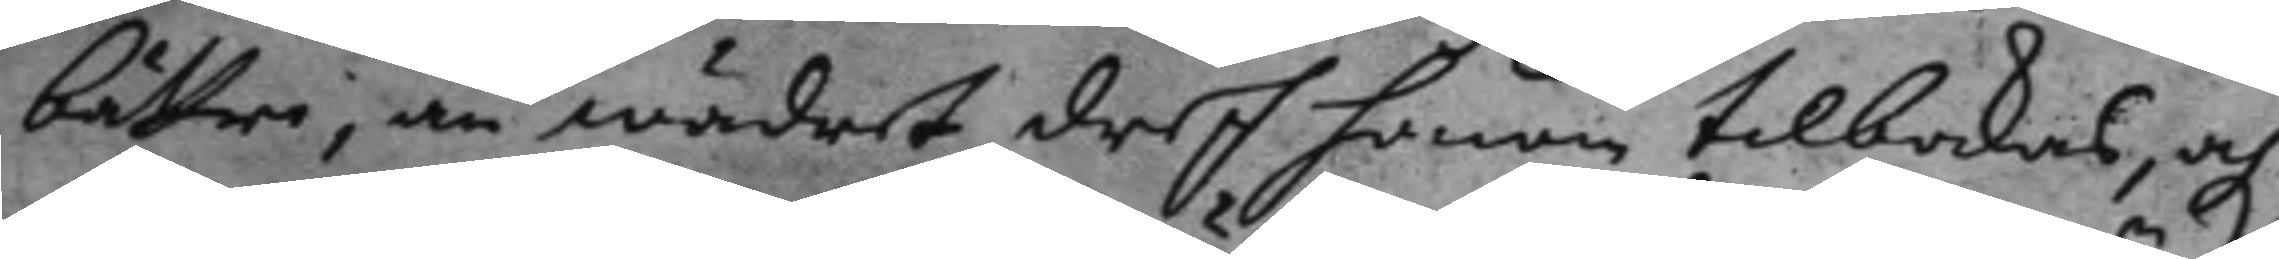bättre, än wädret dref honom tilbakas, och
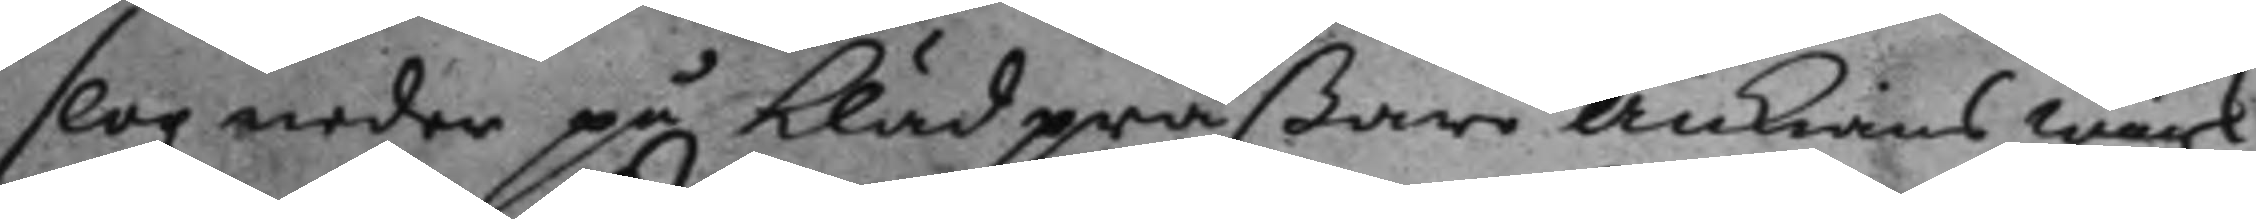slog neder på klädpräßare änkians wärk¬
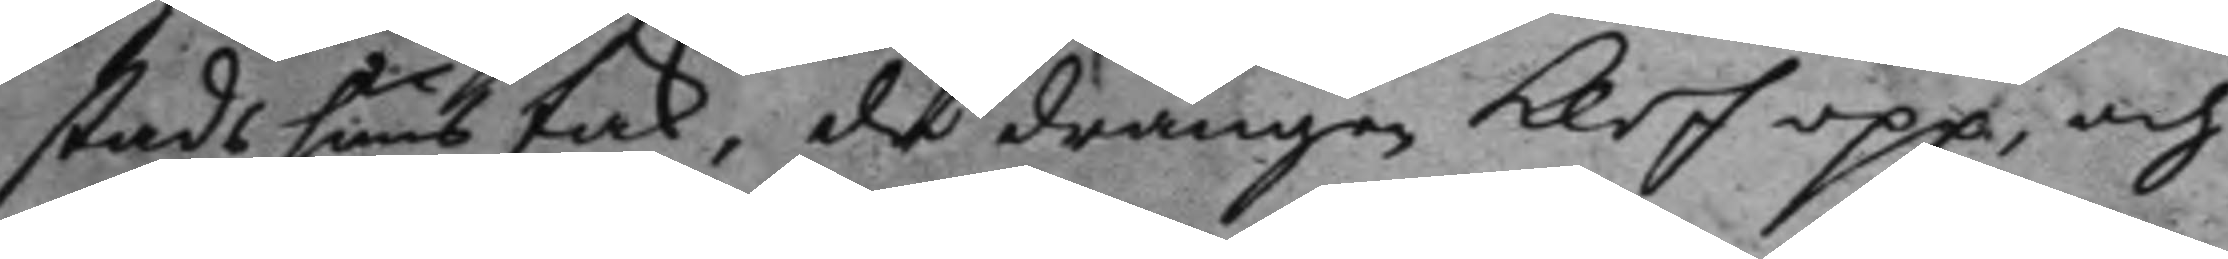stads huus tak, det drängen klef upp, och
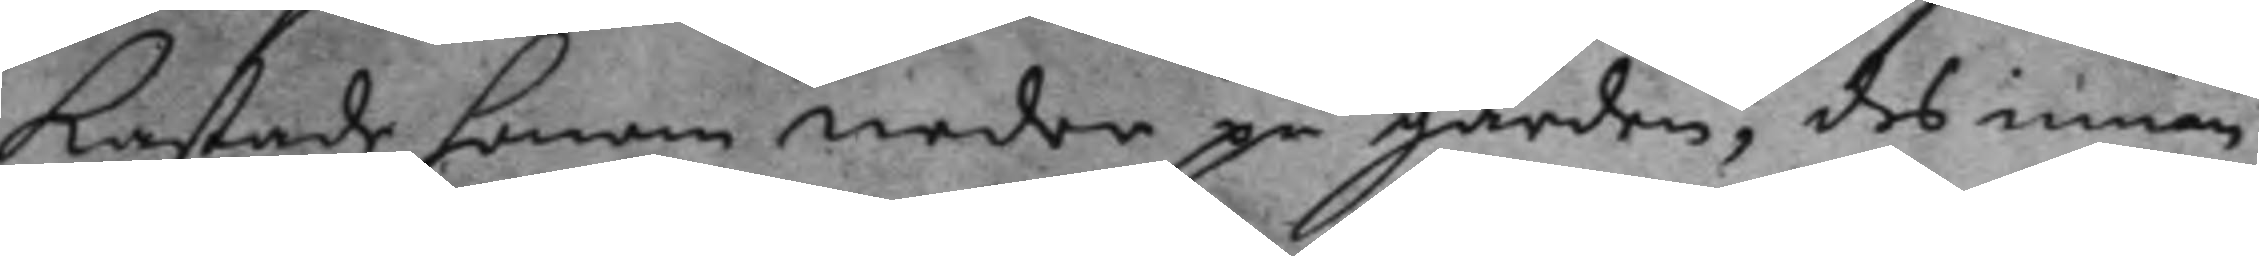kastade honom neder på gården, des innan
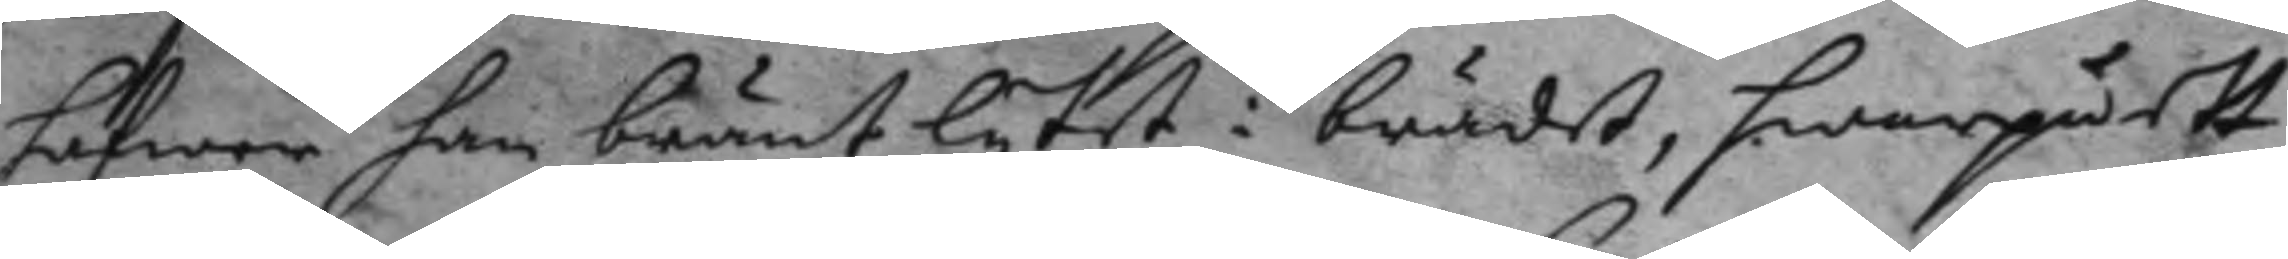hafwer han bränt lytet i brädet, hwarpå ett
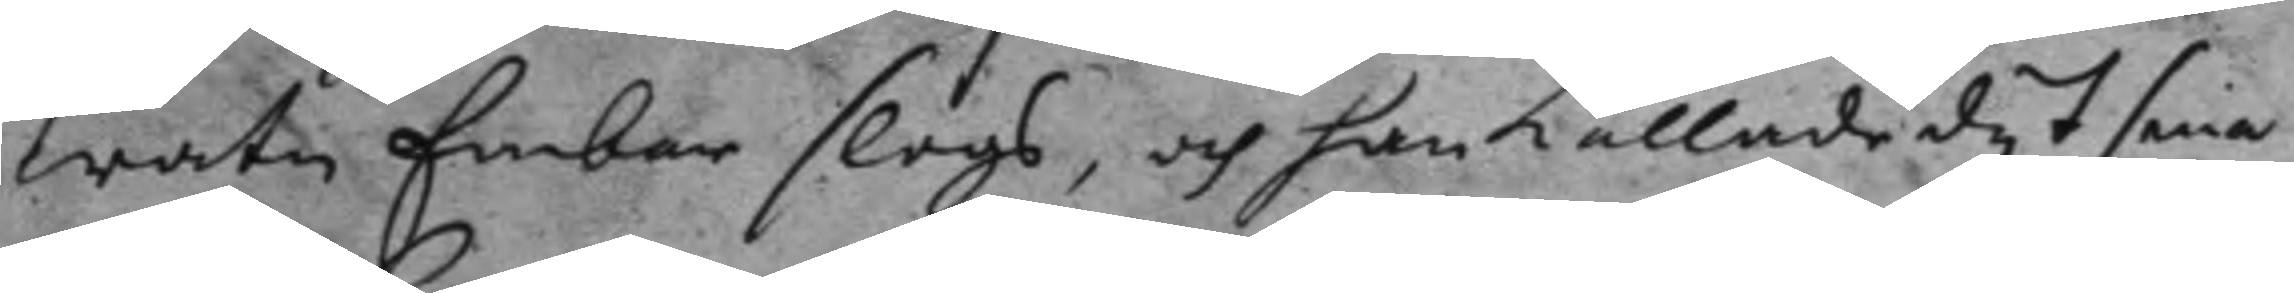watn Embar slogs, och han kallade dy 7 sine
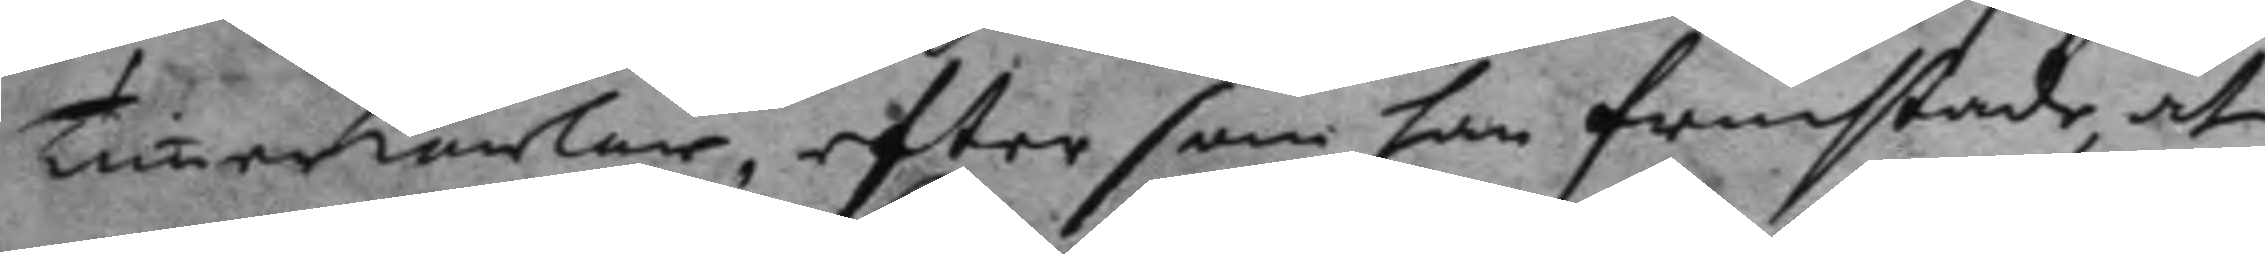Timerkarlar, efter som han fruchtade at
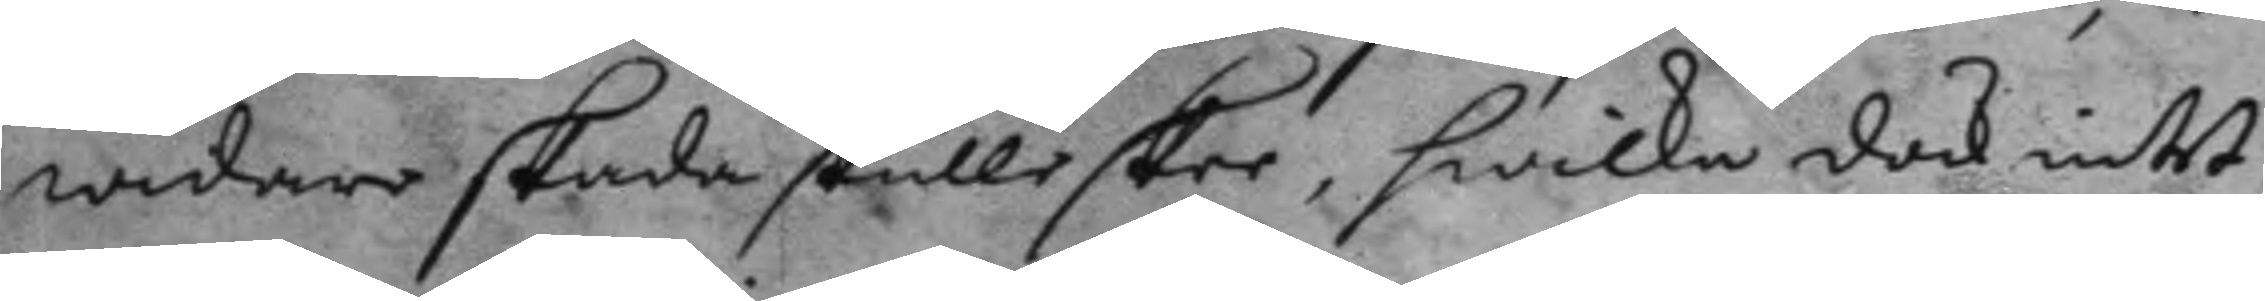widare skada skulle skee, hwilka dock intet
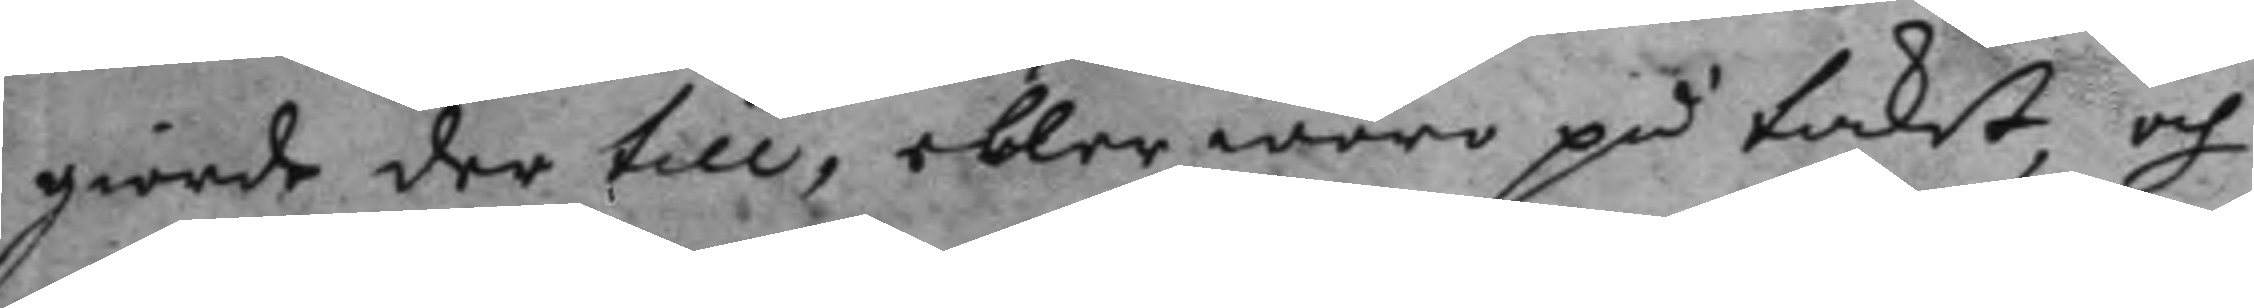giorde der till, eller wore på taket, och
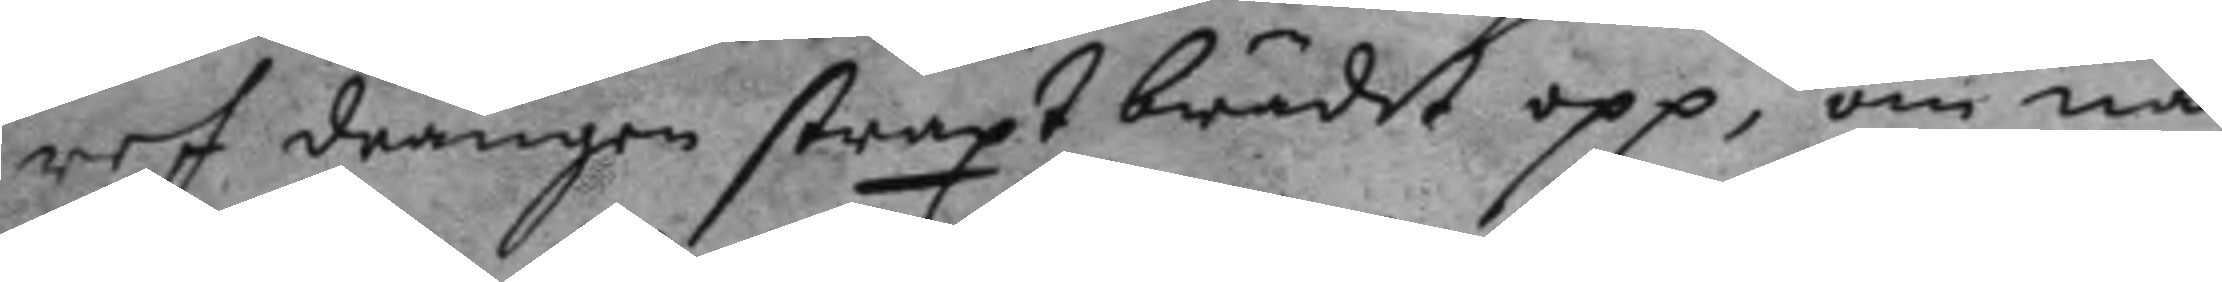ref drängen straxt brädet opp, om nå¬
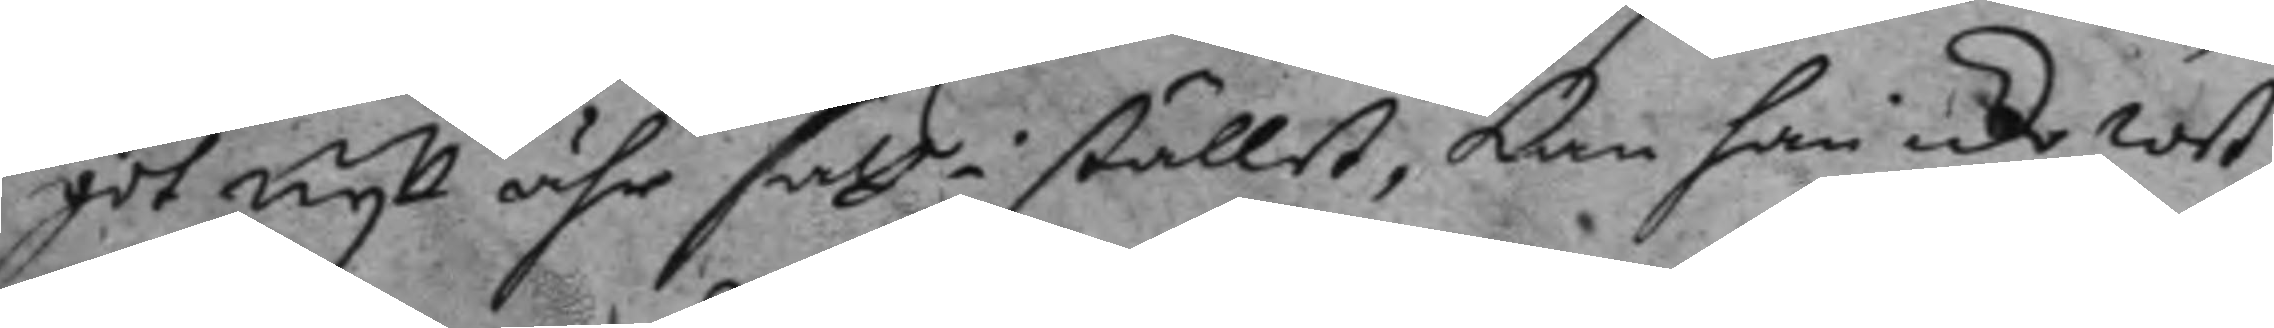got nytt ähr satt i stället, kan han icke wet¬
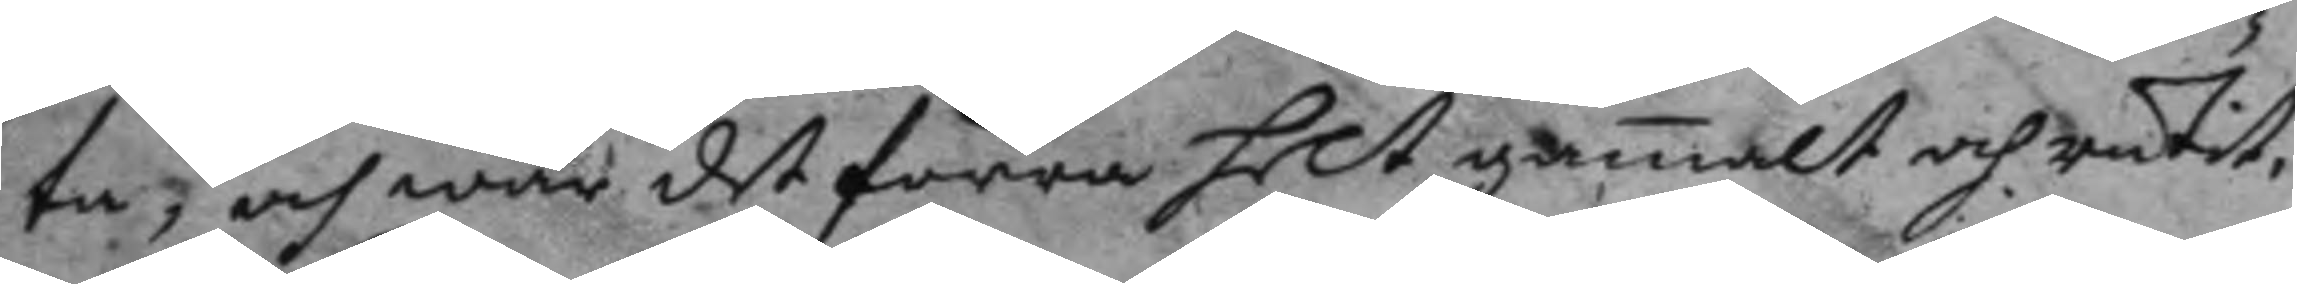ta, och war det förra helt gamalt och rutit.
